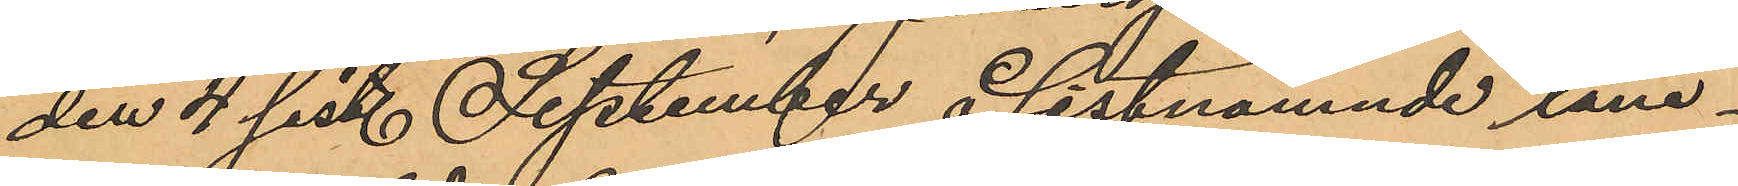den 4 sist. September å sistnämnde låne¬
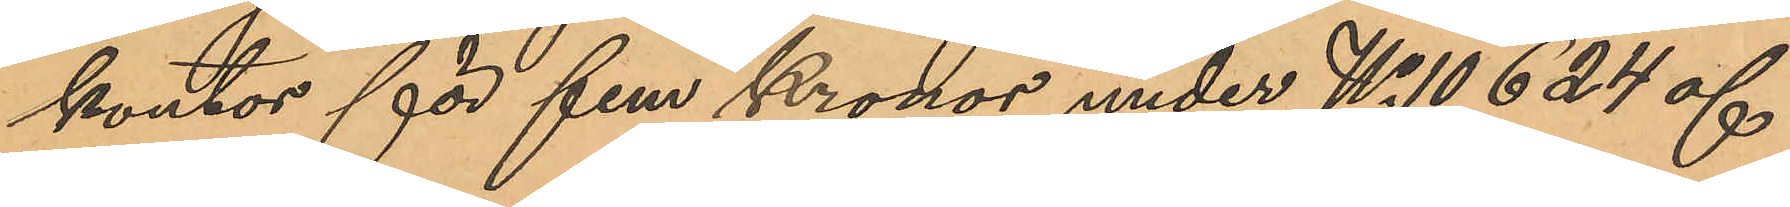kontor för fem Kronor under No 10624 af
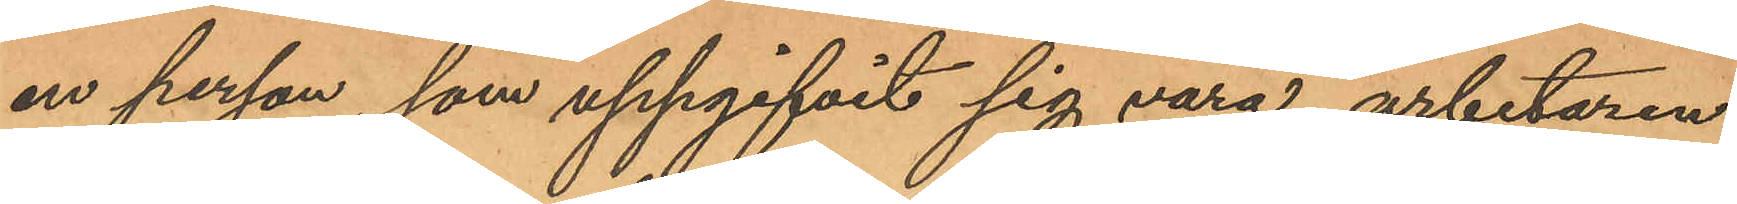en person, som uppgifvit sig vara arbetaren
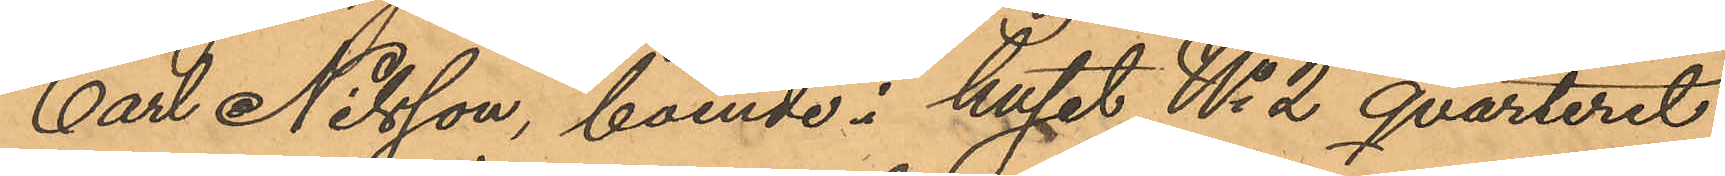Carl Nilsson, boende i huset No 2 qvarteret
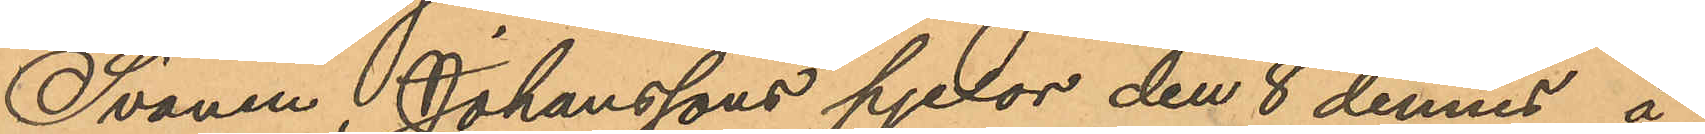Svanen, Johanssons pjexor den 8 dennes å
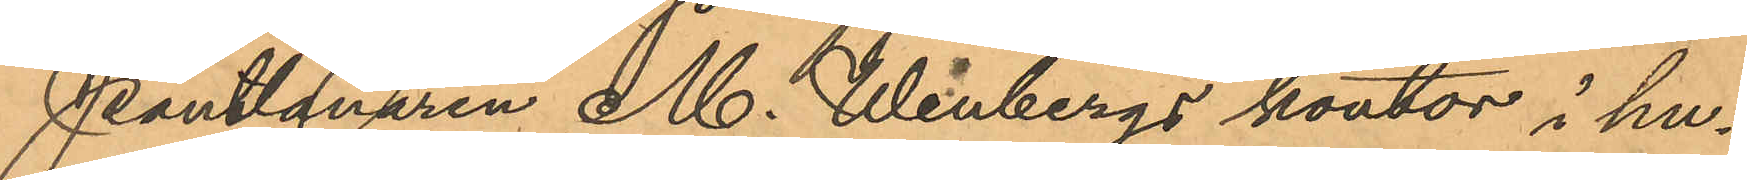Pantlånaren M. Wenbergs kontor i hu¬
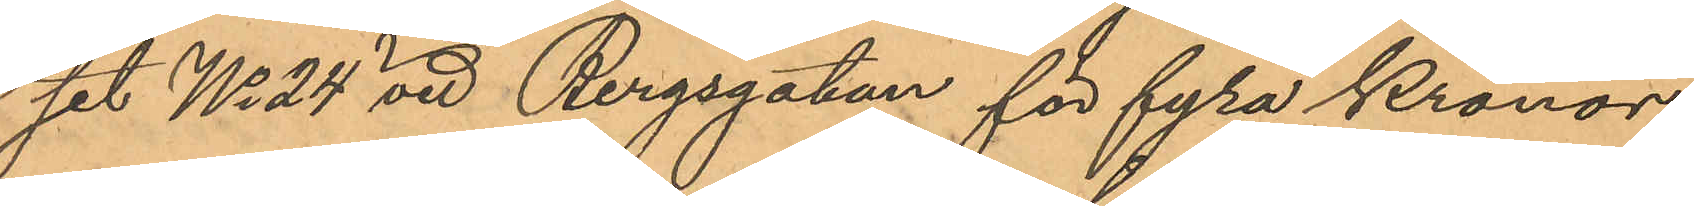set No 24 vid Bergsgatan för fyra Kronor
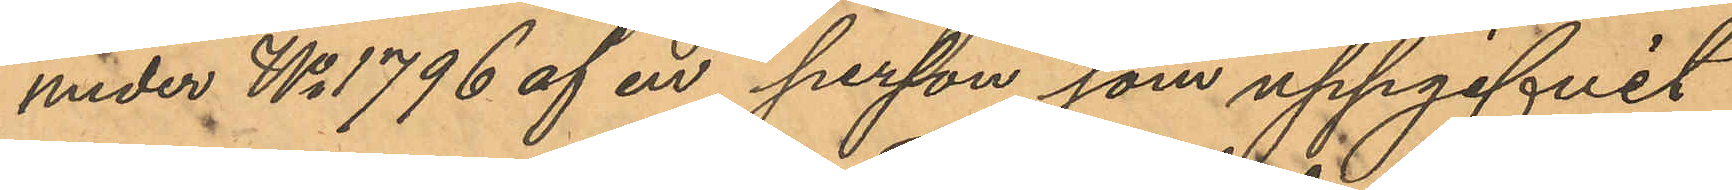under No 1796 af en person som uppgifvit
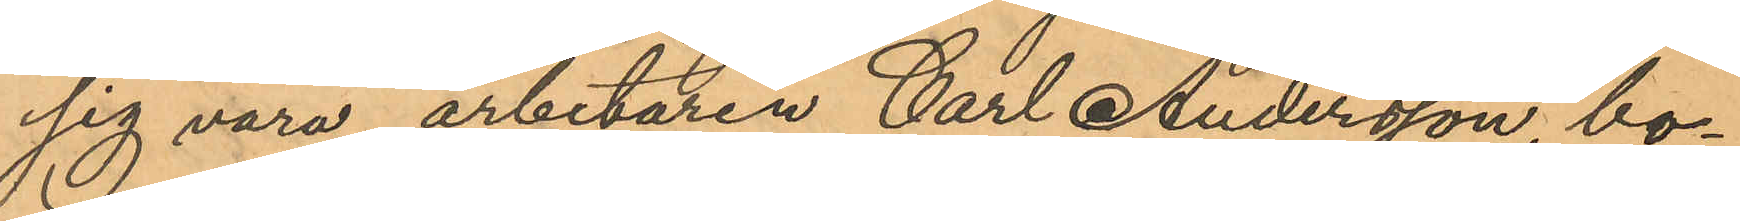sig vara arbetaren Carl Andersson, bo¬
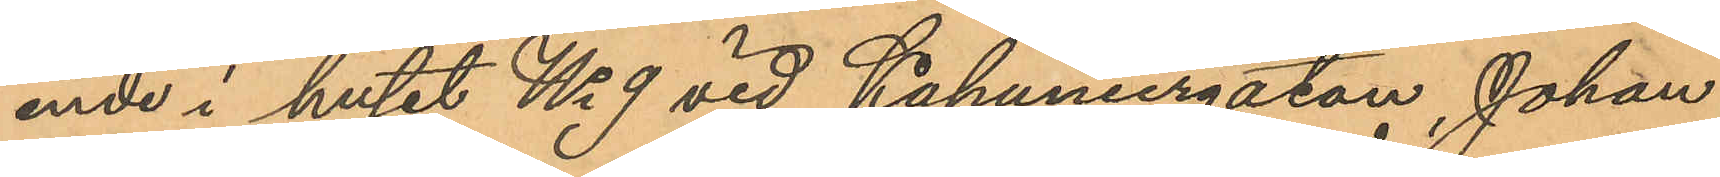ende i huset No 9 vid Kapuniergatan, Johan
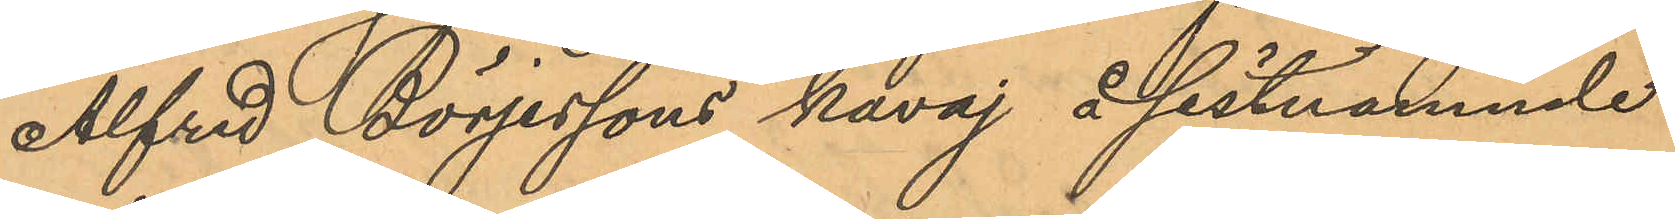Alfred Börjessons kavaj å sistnämnde
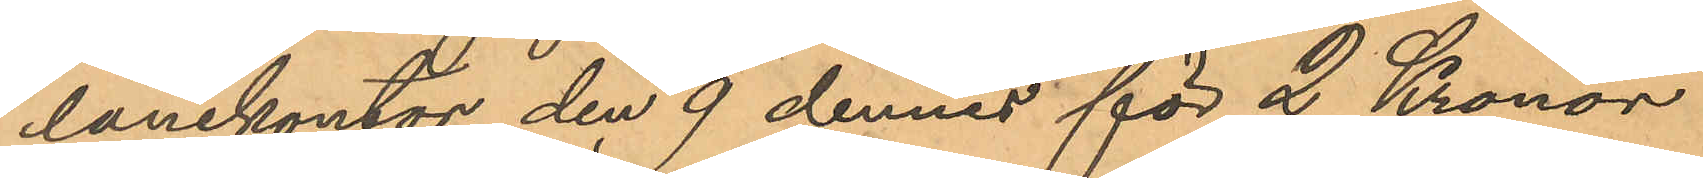lånekontor den 9 dennes för 2 Kronor
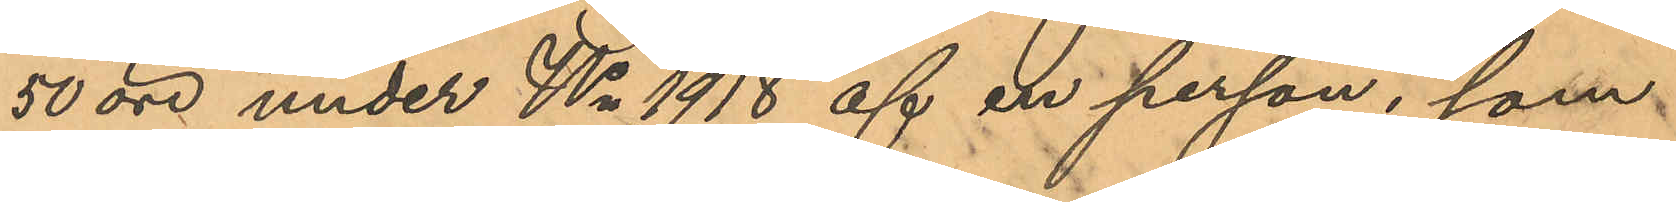50 öre under No 1918 af en person, som
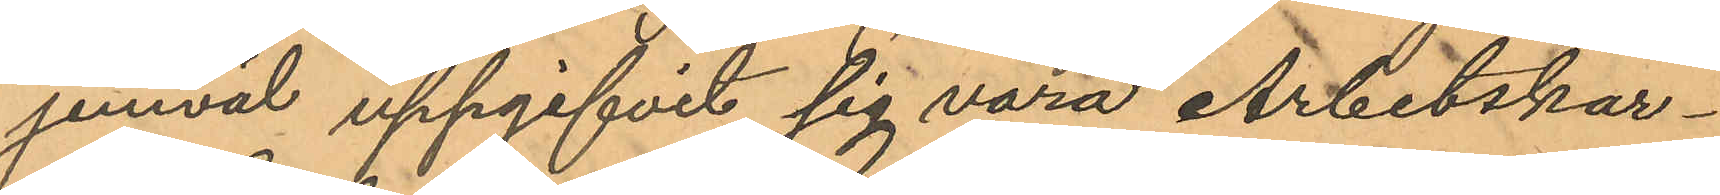jemväl uppgifvit sig vara Arbetskar¬
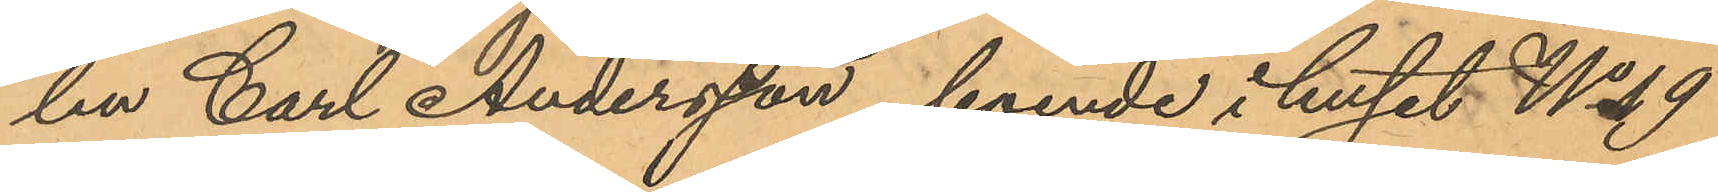len Carl Andersson, boende i huset No 19
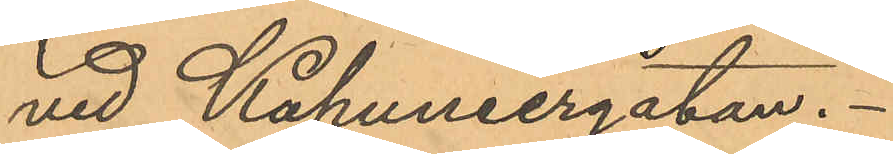vid Kapuniergatan.
